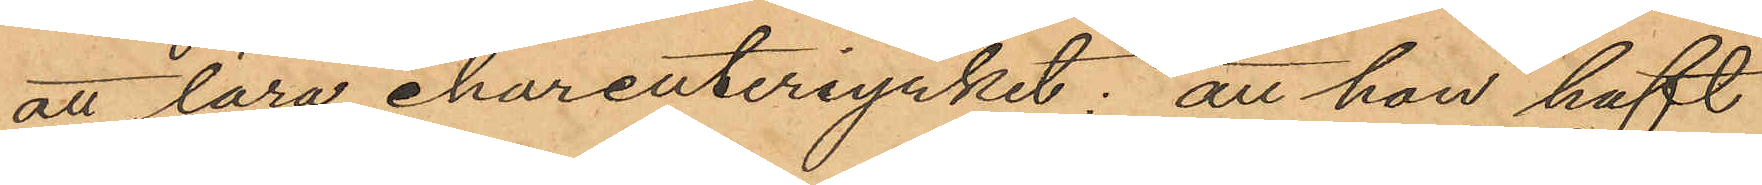att lära charcuteriyrket; att hon haft
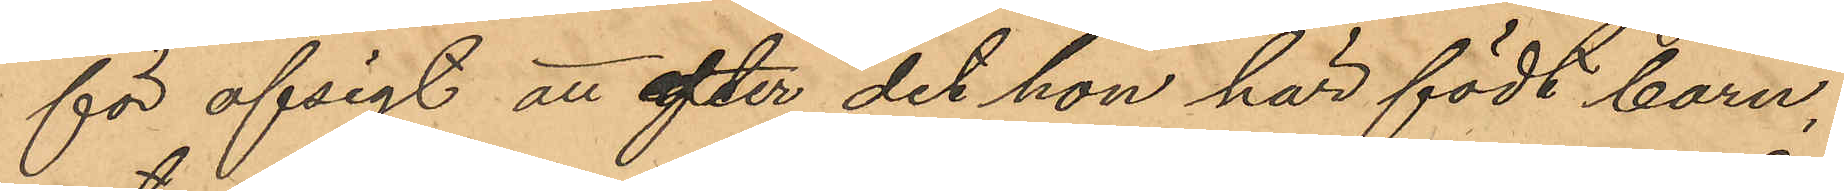för afsigt att efter det hon här födt barn,
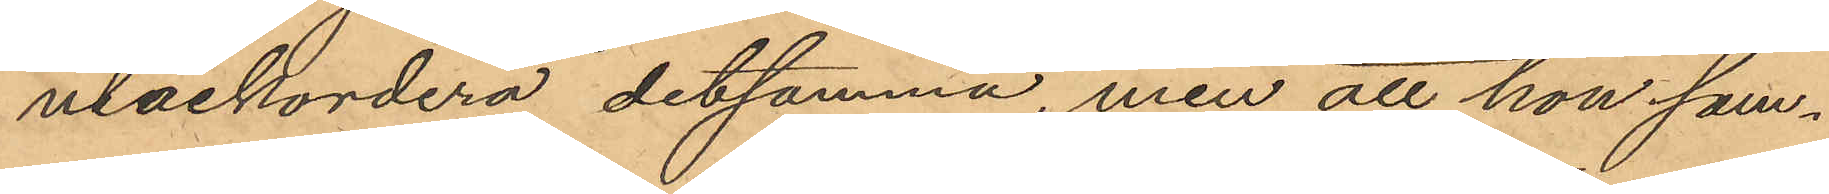utackordera detsamma, men att hon sam¬
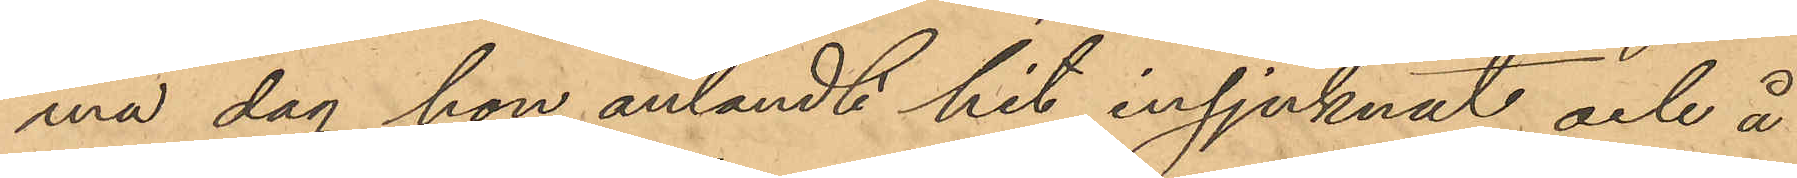ma dag hon anländt hit insjuknat och å
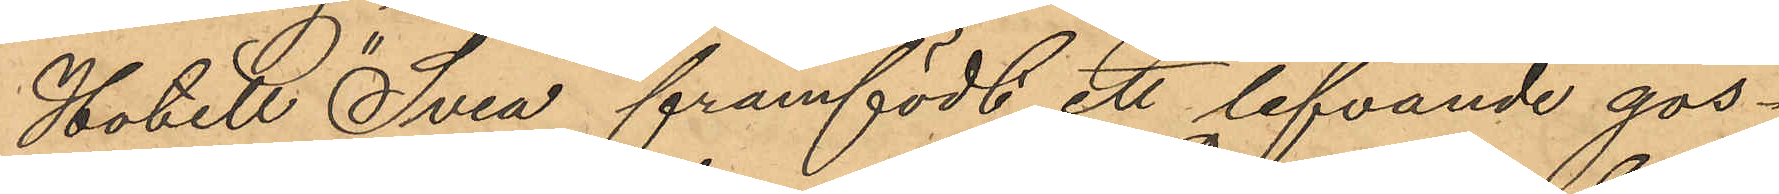Hotell "Svea" framfödt ett lefvande gos¬
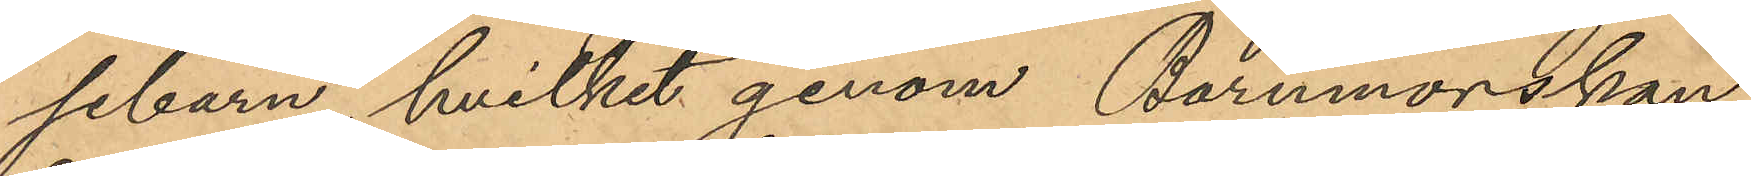sebarn, hvilket genom Barnmorskan
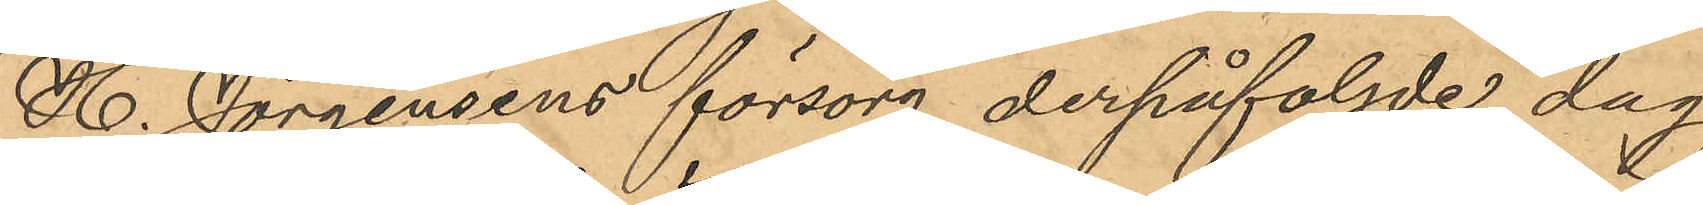H. Jörgensens försorg derpåföljde dag
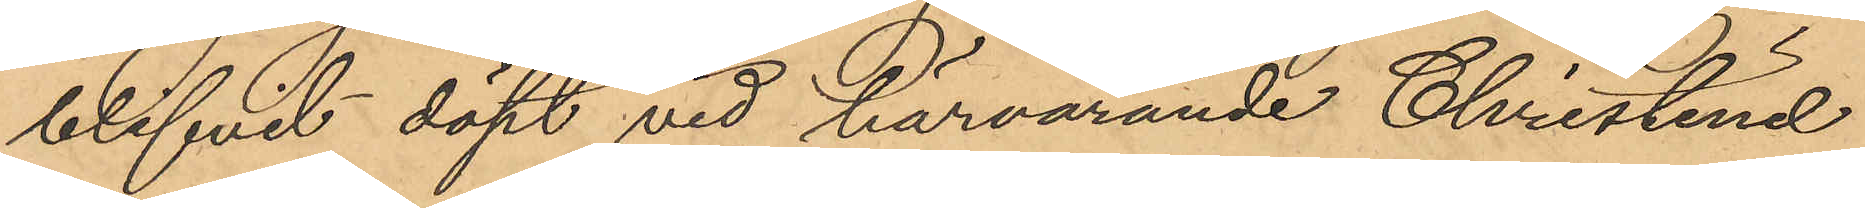blifvit döpt vid härvarande Christine
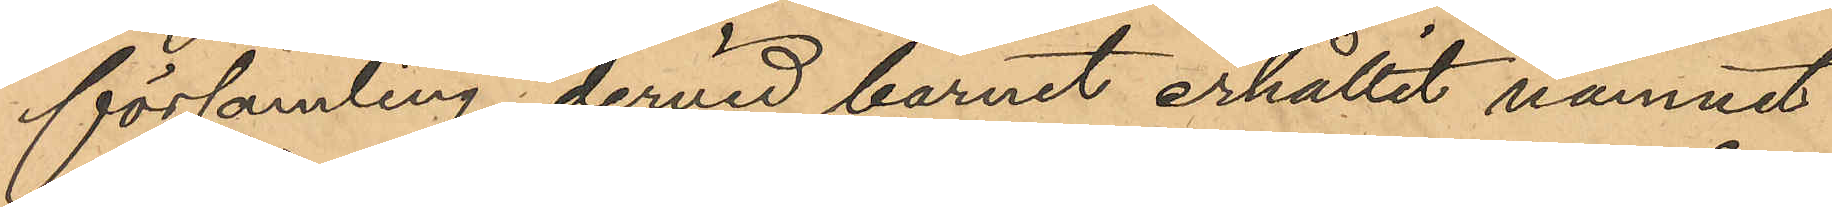församling, dervid barnet erhållit namnet
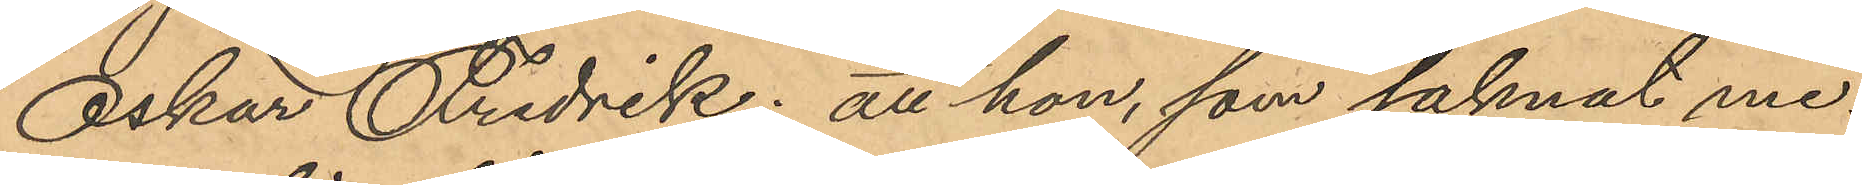Oskar Fredrik; att hon, som saknat me¬
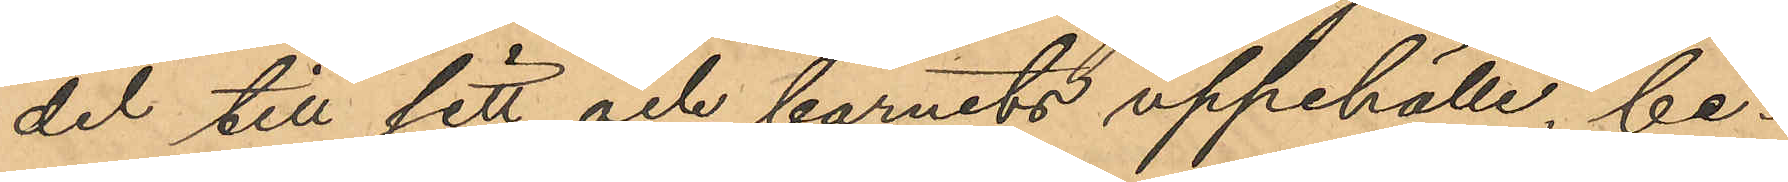del till sitt och barnets uppehälle, be¬
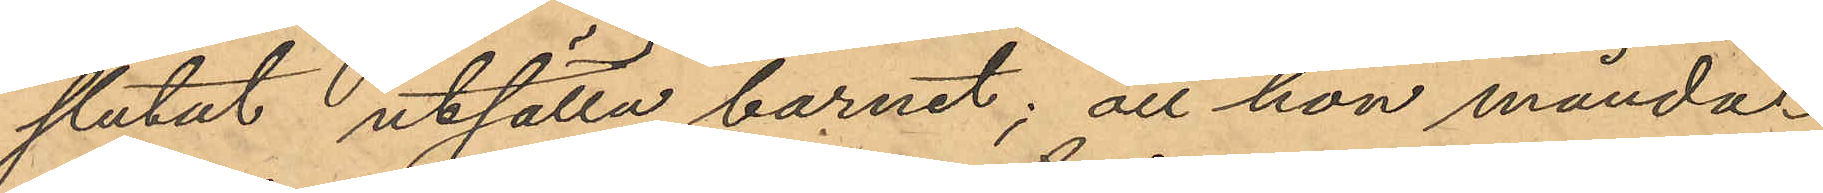slutat utsätta barnet; att hon månda¬
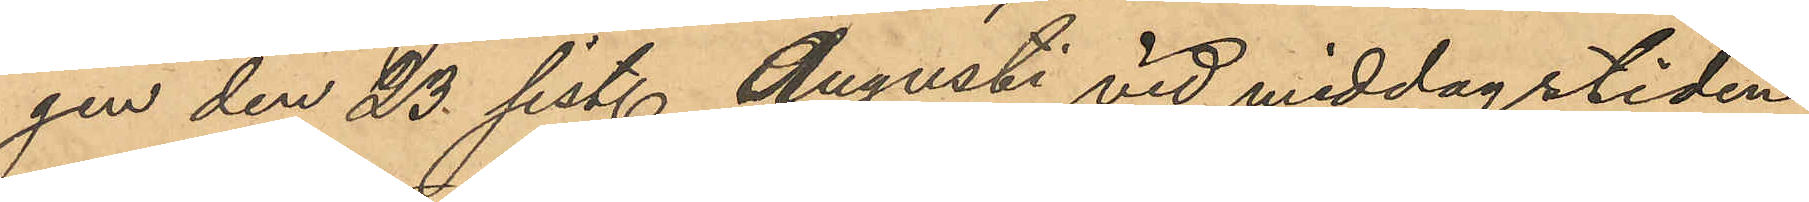gen den 23 sist. Augusti vid middagstiden,
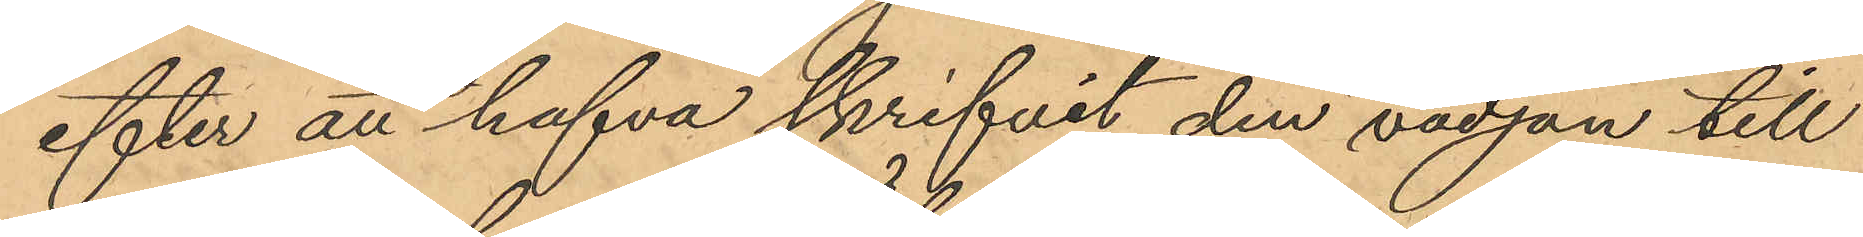efter att hafva skrifvit den vädjan till
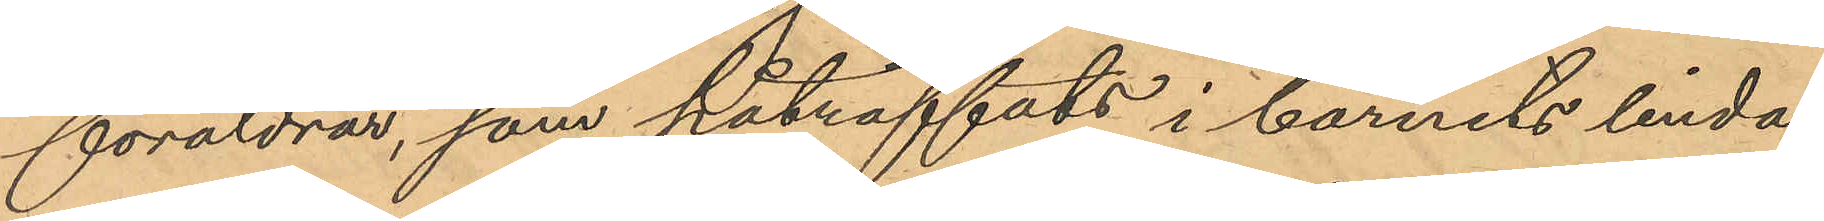föräldrar, som påträffats i barnets linda,
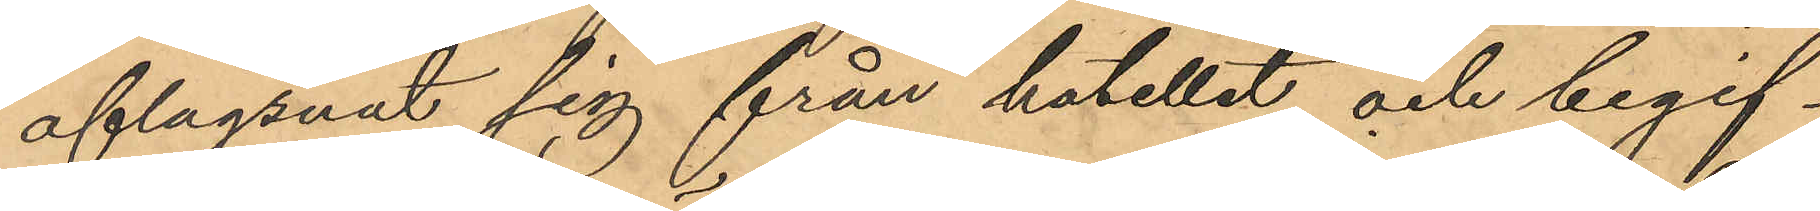aflägsnat sig från hotellet och begif¬
